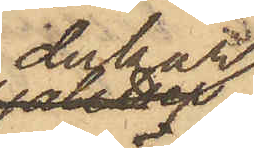dukar,
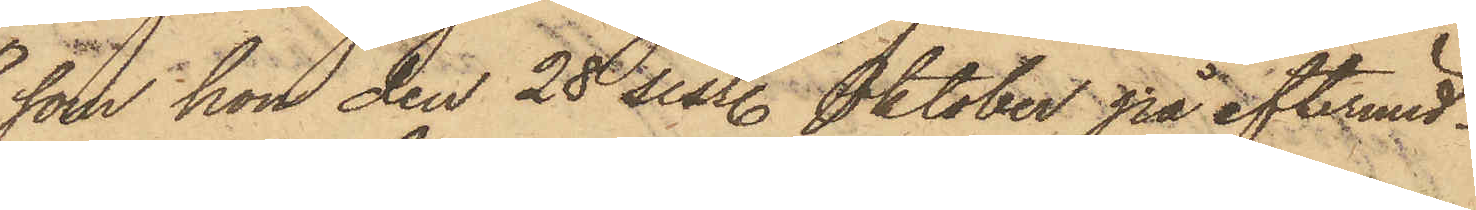som hon den 28 sist. Oktober på eftermid¬
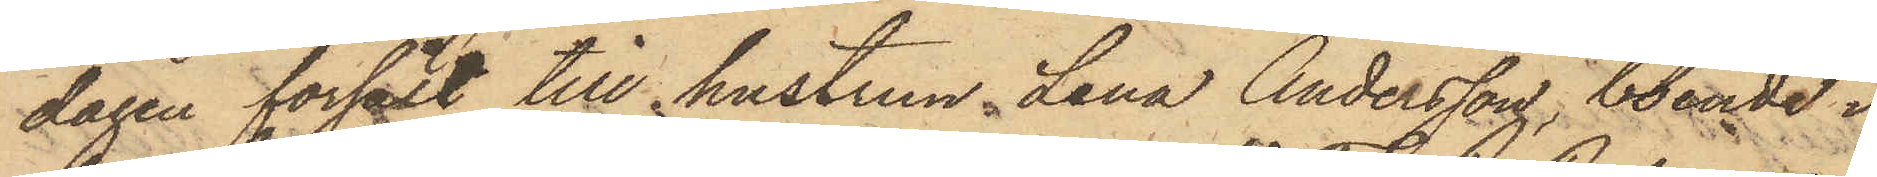dagen försålt till hustrun Lena Andersson, boende i
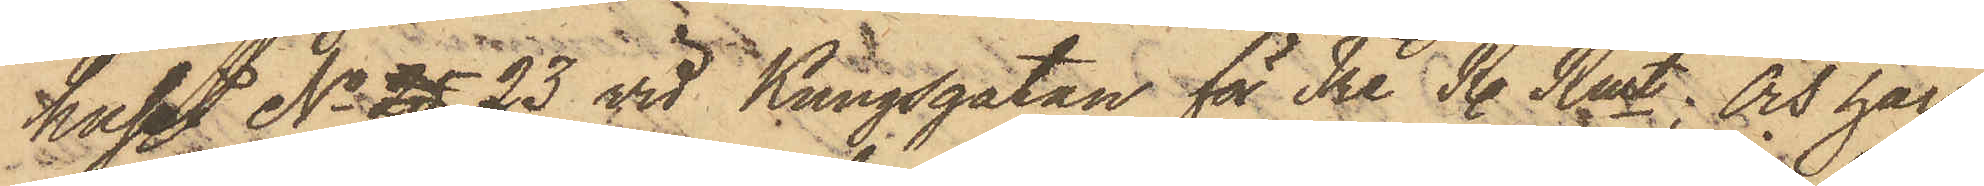huset No 25 23 vid Kungsgatan för Tre R. Rmt; Och har
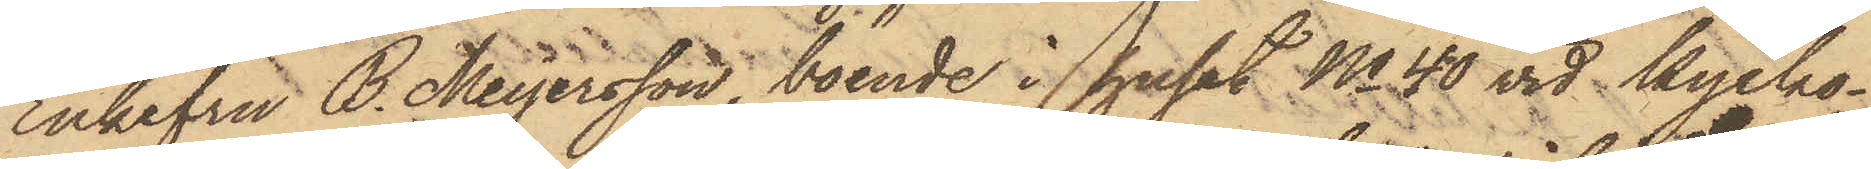Enkefru B. Meyersson, boende i huset No 40 vid Kyrko¬
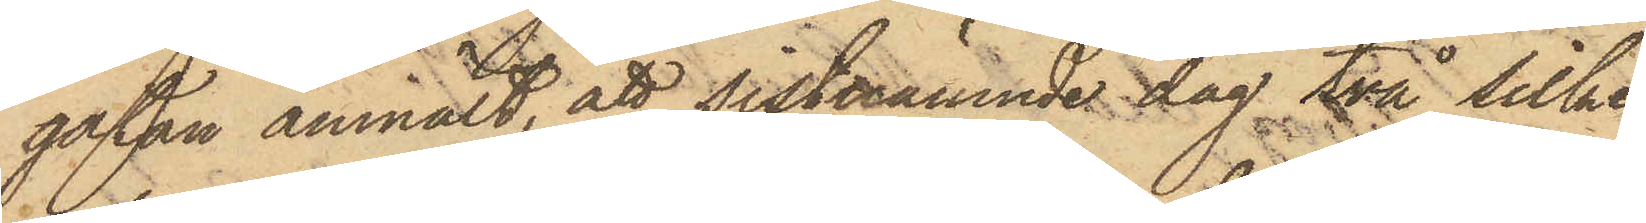gatan anmält, att sistnämnde dag två silke¬
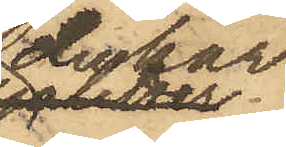dukar
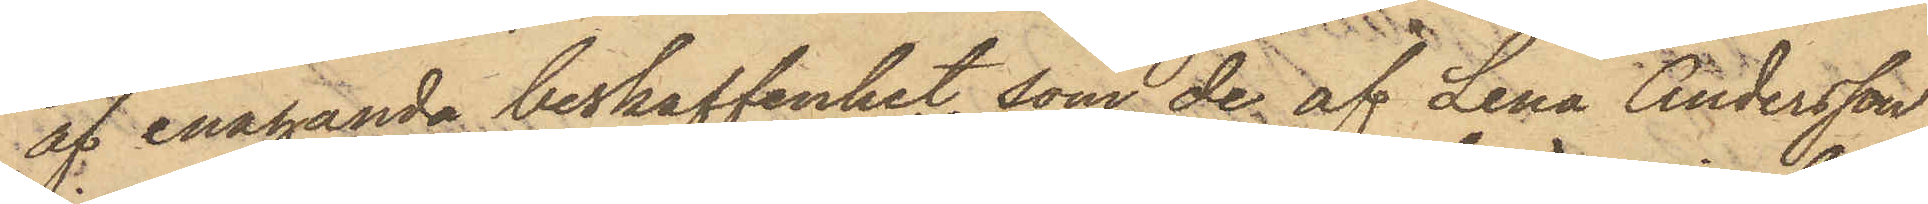af enahanda beskaffenhet, som de af Lena Andersson
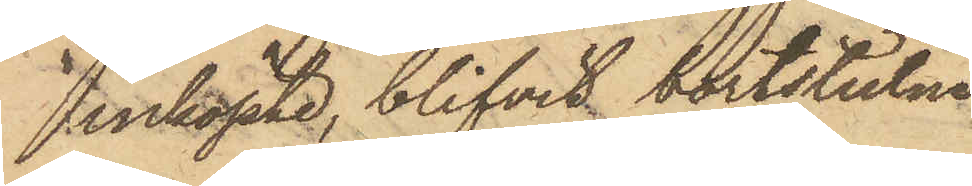inköpta, blifvit bortstulna
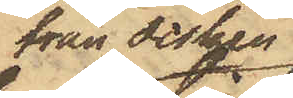från disken
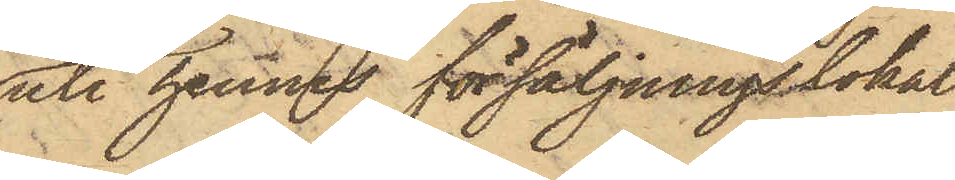uti hennes försäljningslokal
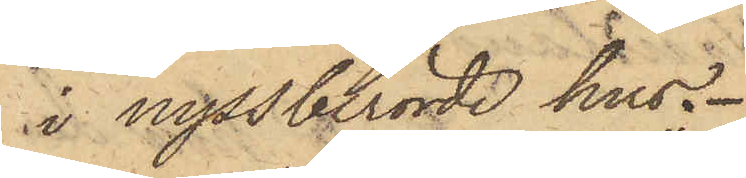i nyssberörde hus.
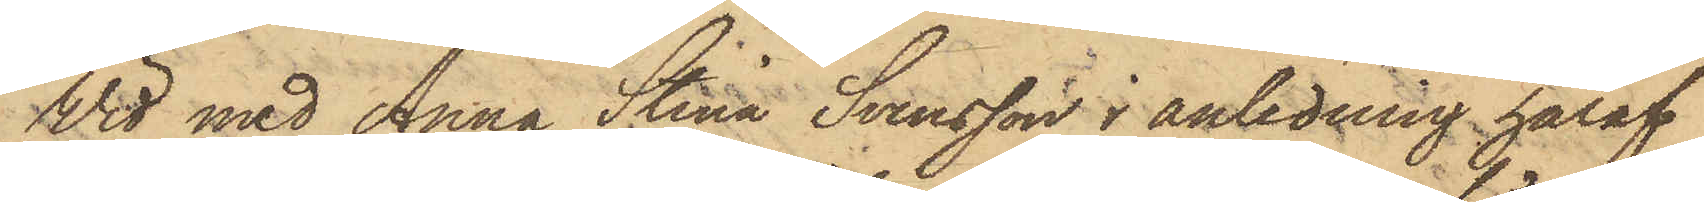Wid med Anna Stina Svensson i anledning häraf
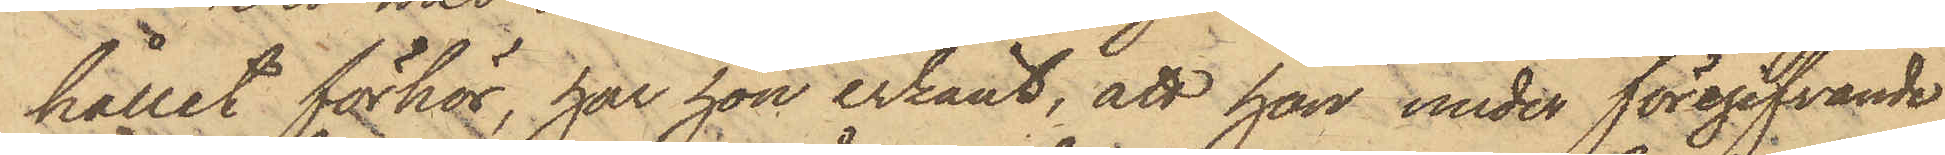hållet förhör, har hon erkänt, att hon under föregifvande
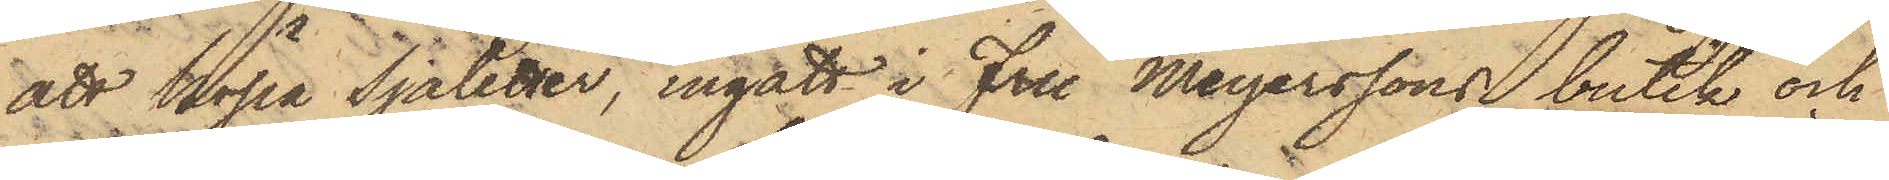att köpa Sjaletter, ingått i Fru Meyerssons butik och
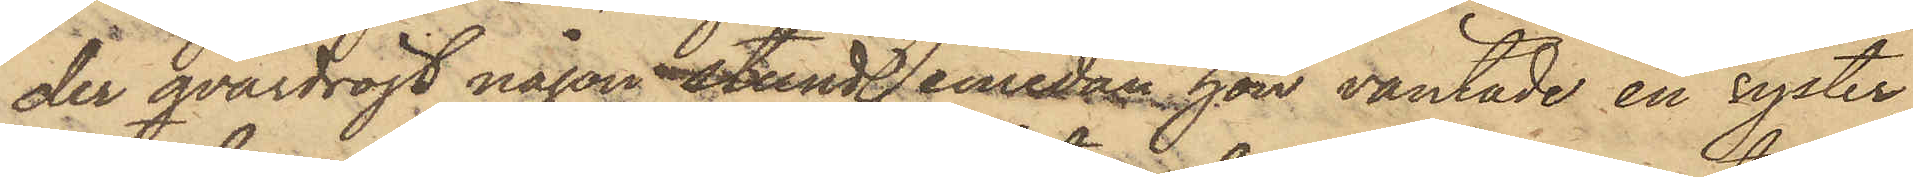der qvardröjt någon stund, emedan hon väntade en syster,
